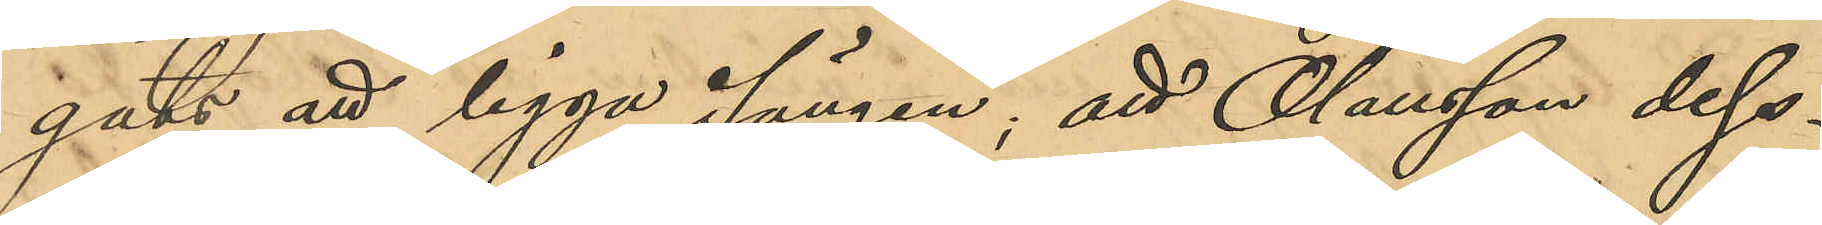gats att ligga i sängen; att Olausson dess¬
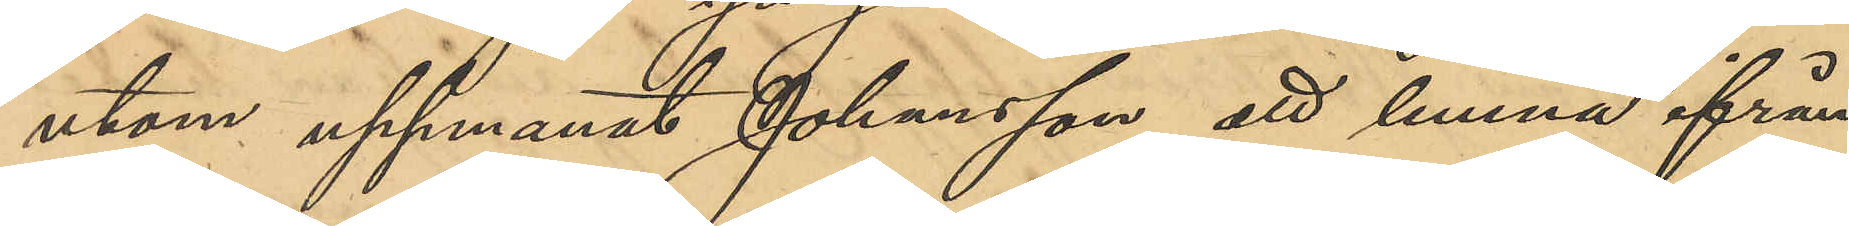utom uppmanat Johansson att lemna ifrån
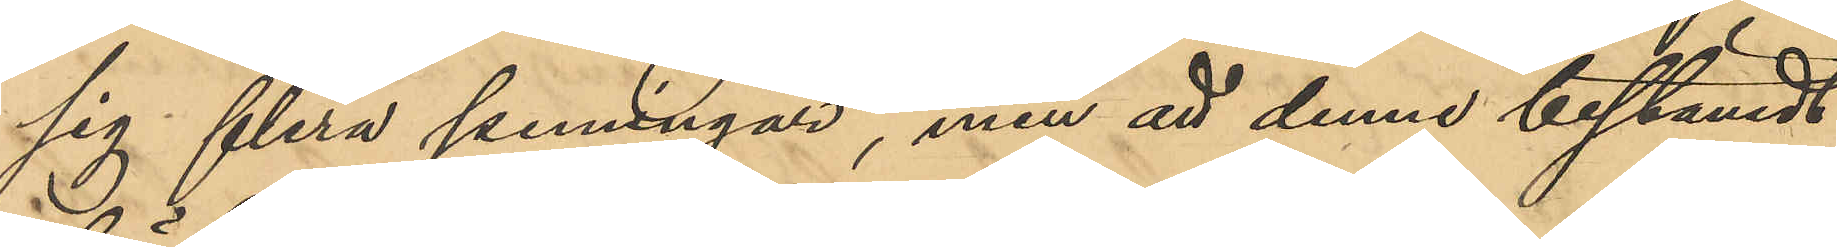sig flera penningar, men att denne bestämdt
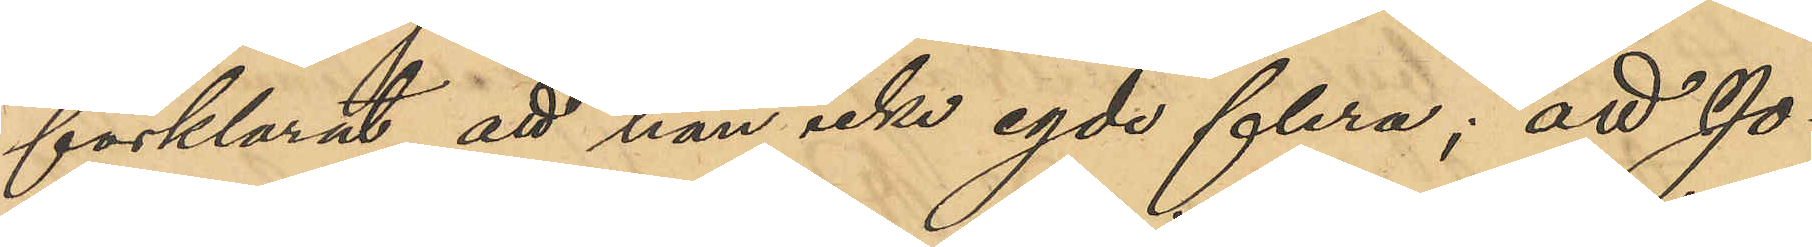förklarat att han icke egde flera; att Jo¬
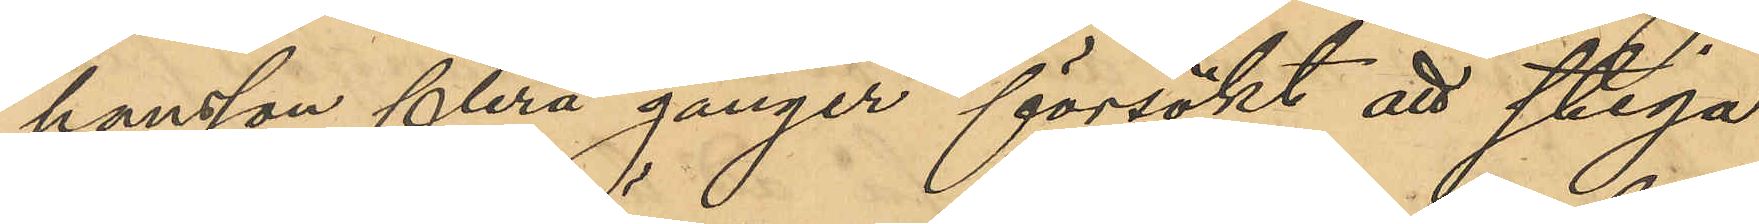hansson flera gånger försökt att stiga
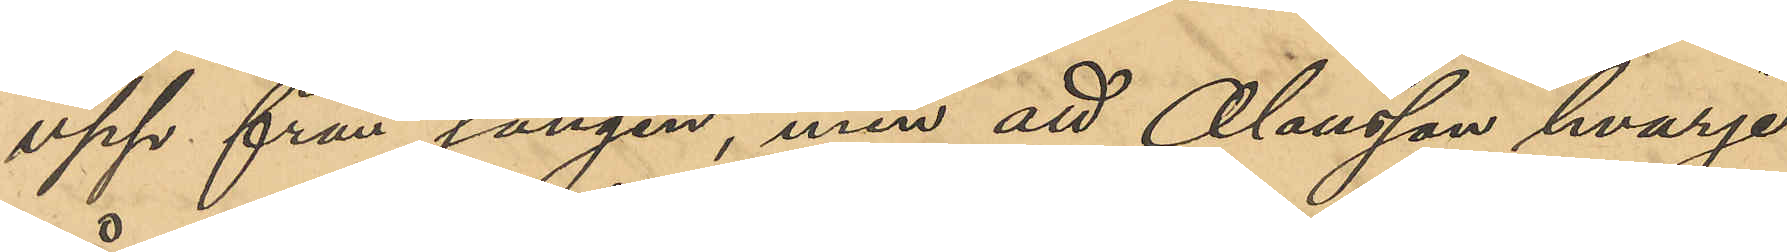upp från sängen, men att Olausson hvarje
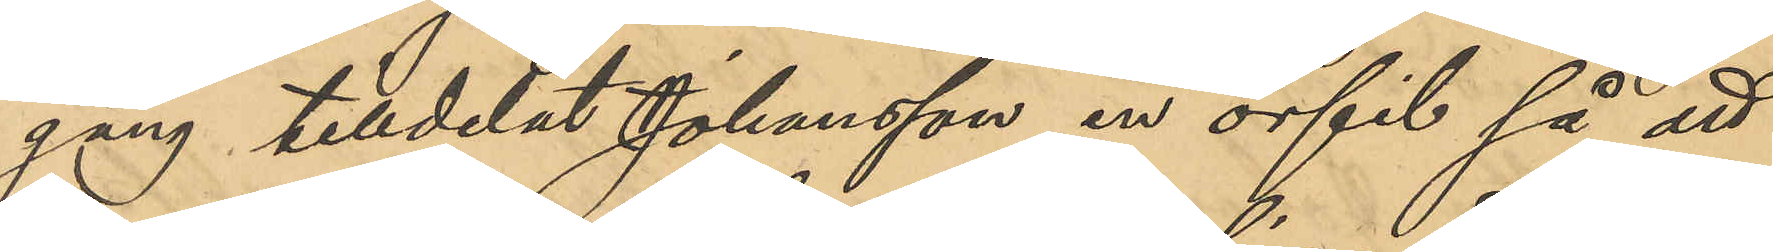gång tilldelat Johansson en örfil så att
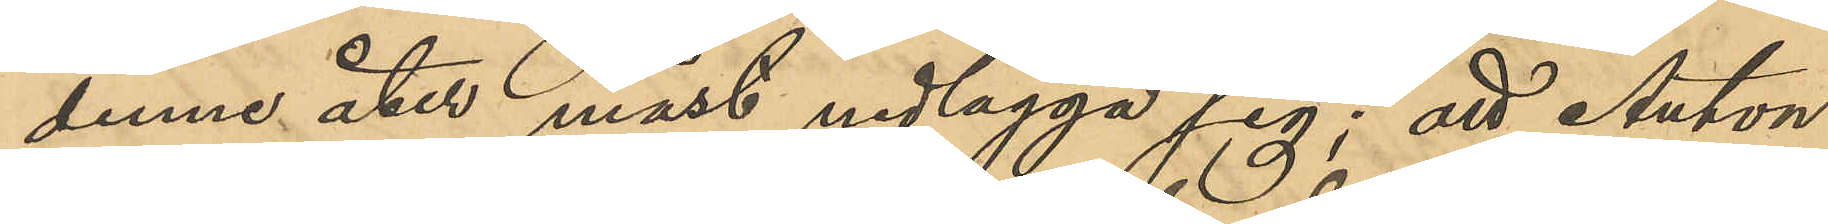denne åter måst nedlägga sig; att Anton
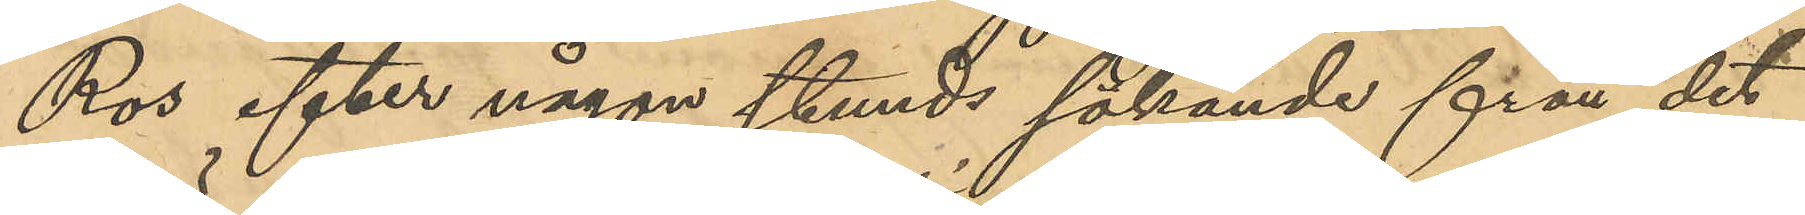Ros efter någon stunds sökande från det
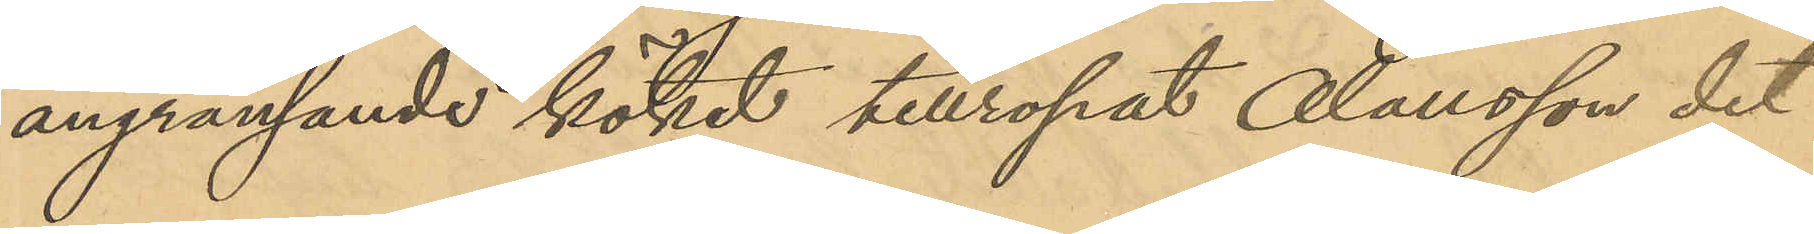angränsande köket tillropat Olausson det
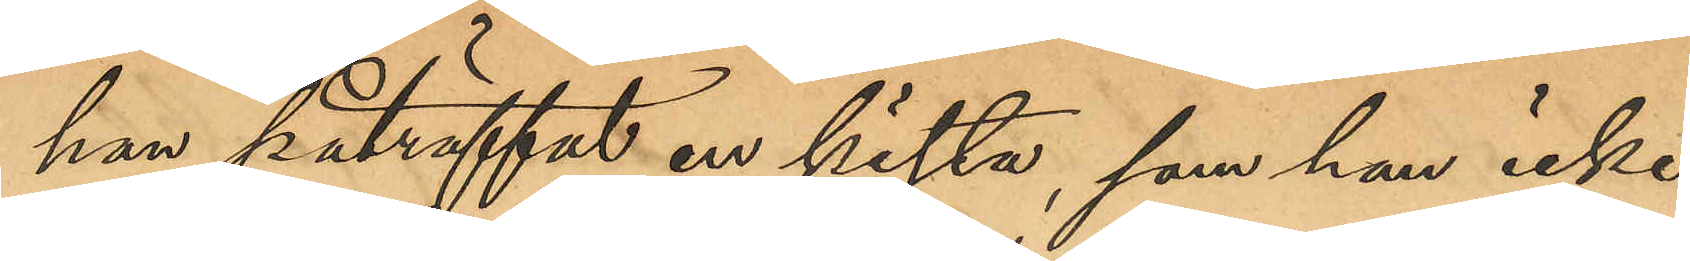han påträffat en kista, som han icke
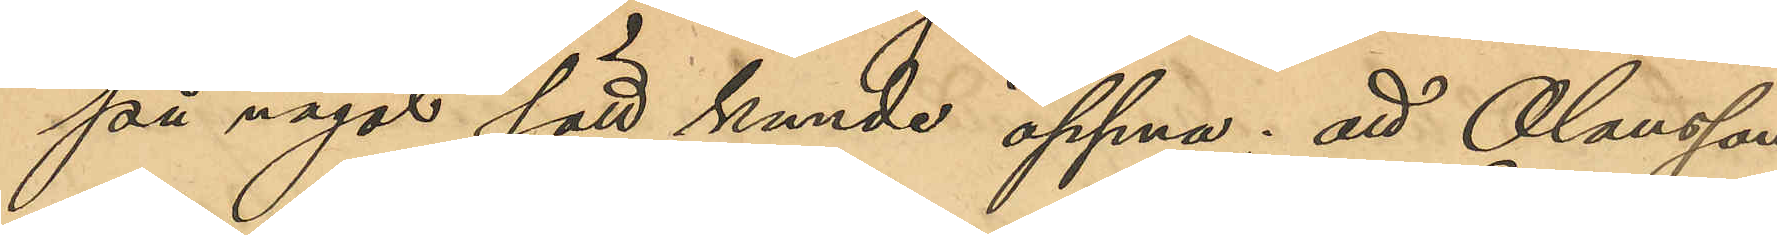på något sätt kunde öppna; att Olausson
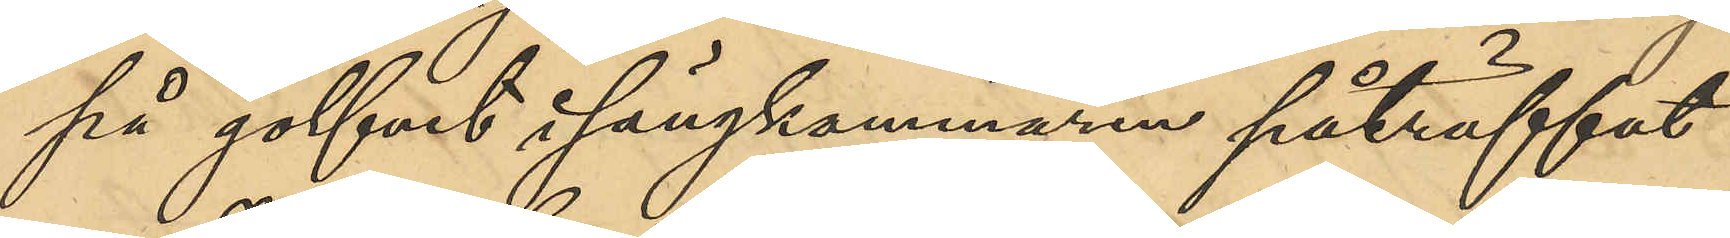på golfvet i sängkammaren påträffat
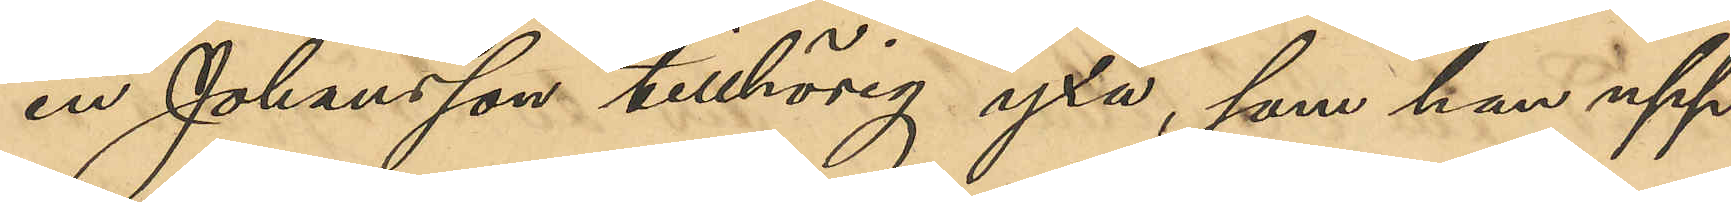en Johansson tillhörig yxa, som han upp¬
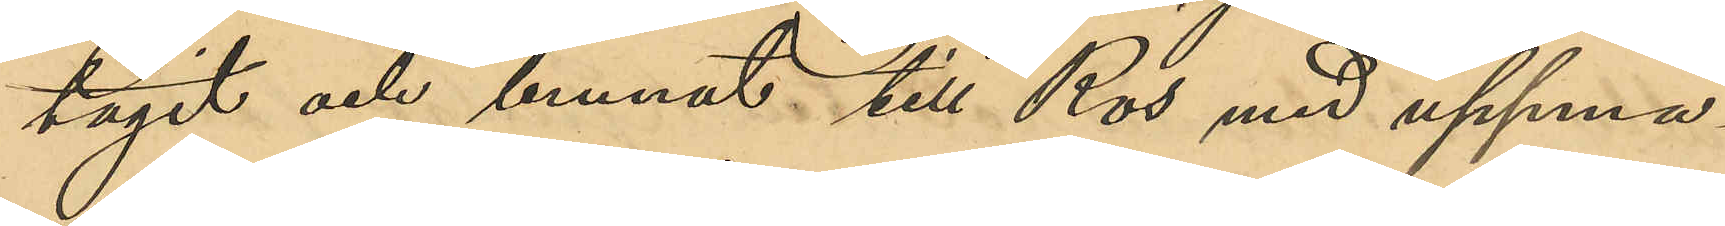tagit och burit till Ros med uppma¬
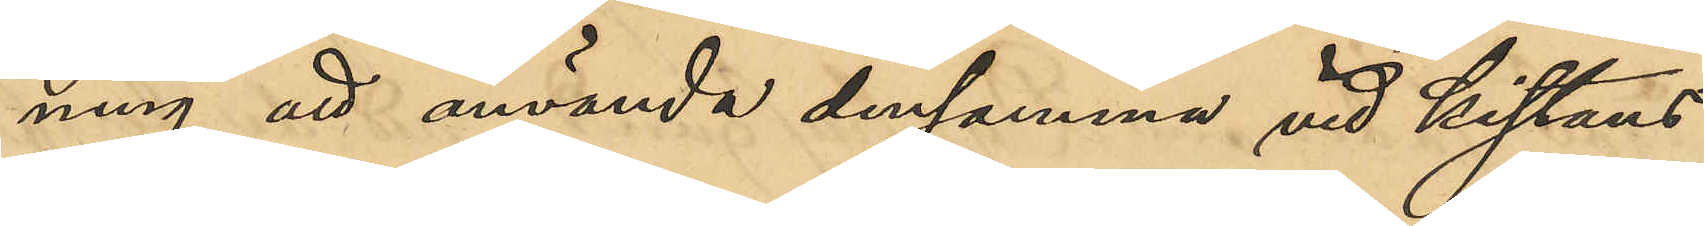ning att använda densamma vid kistans
